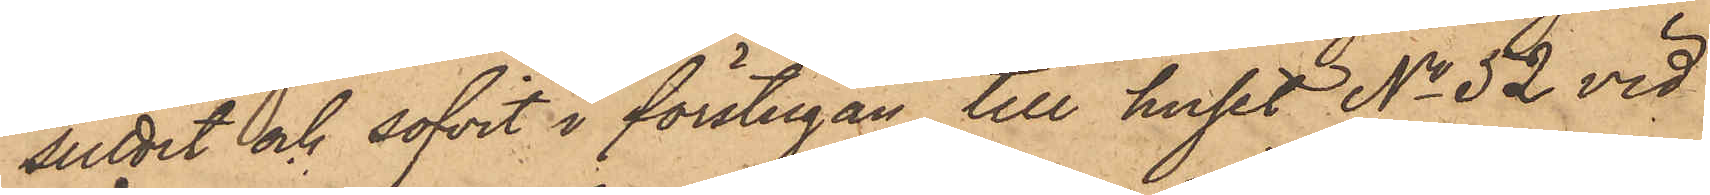suttit och sofvit i förstugan till huset No 52 vid
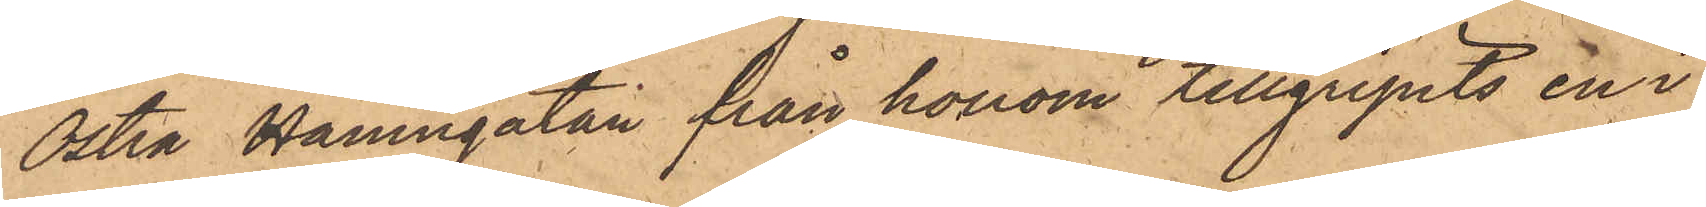Östra Hamngatan från honom tillgripits en i
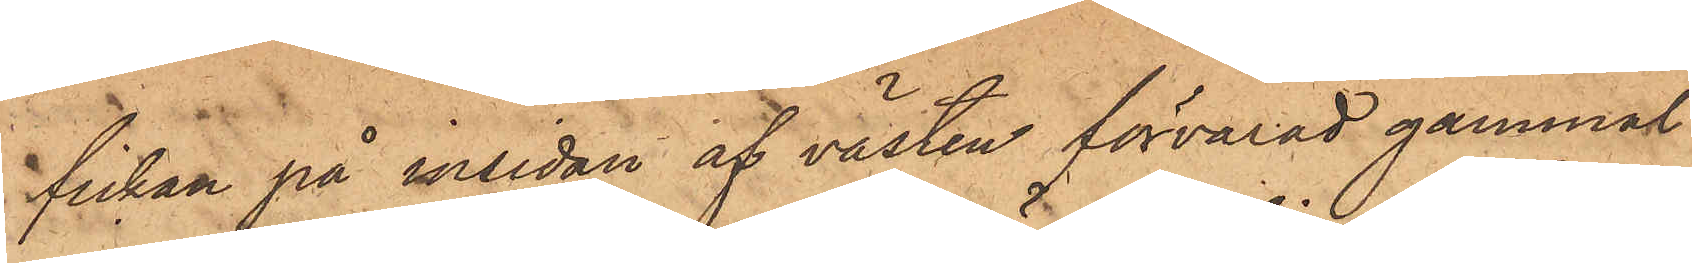fickan på insidan af västen förvarad gammal
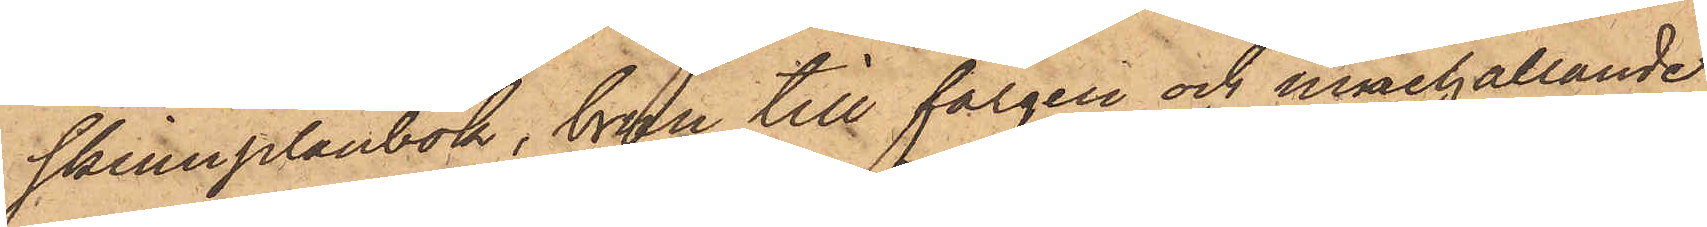skinnplånbok, brun till färgen och innehållande
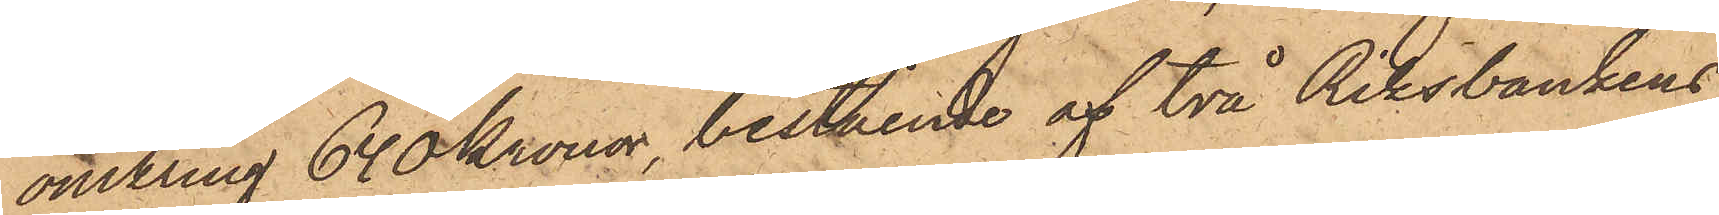omkring 640 Kronor, bestående af två Riksbankens
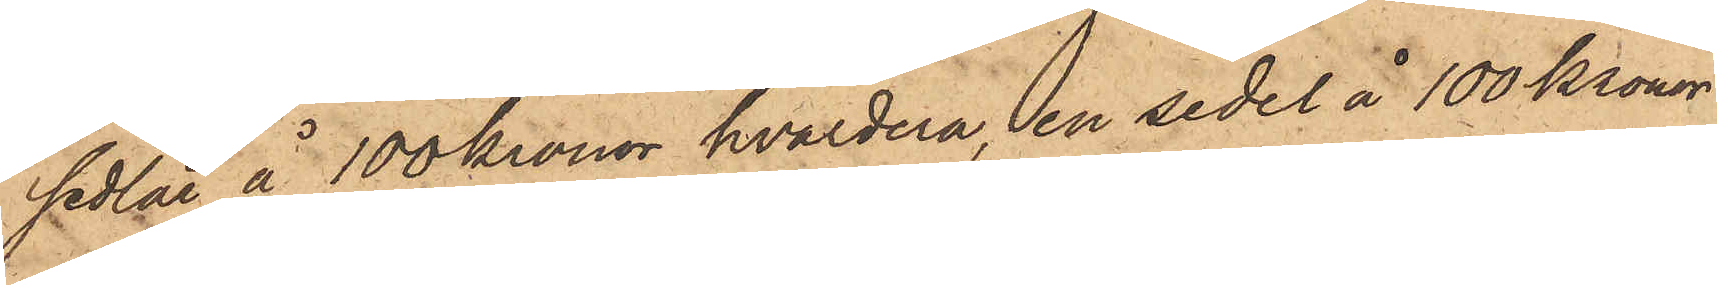sedlar å 100 kronor hvardera, en sedel å 100 Kronor,
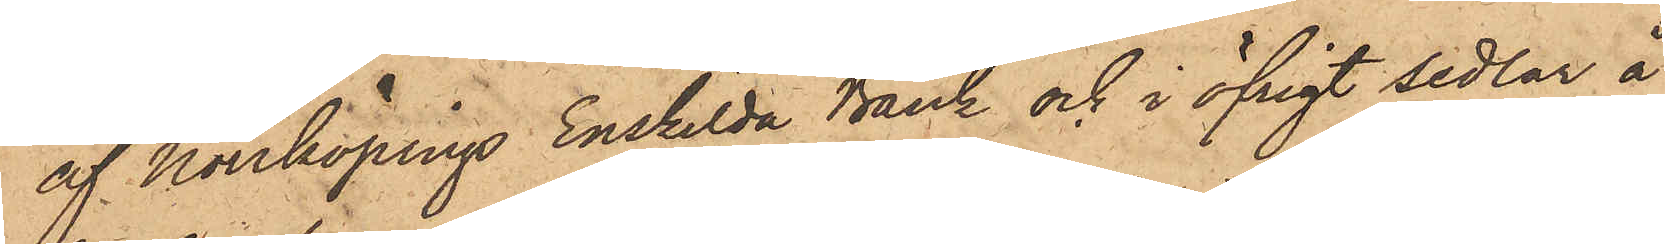af Norrköpings Enskilda Bank och i öfrigt sedlar å
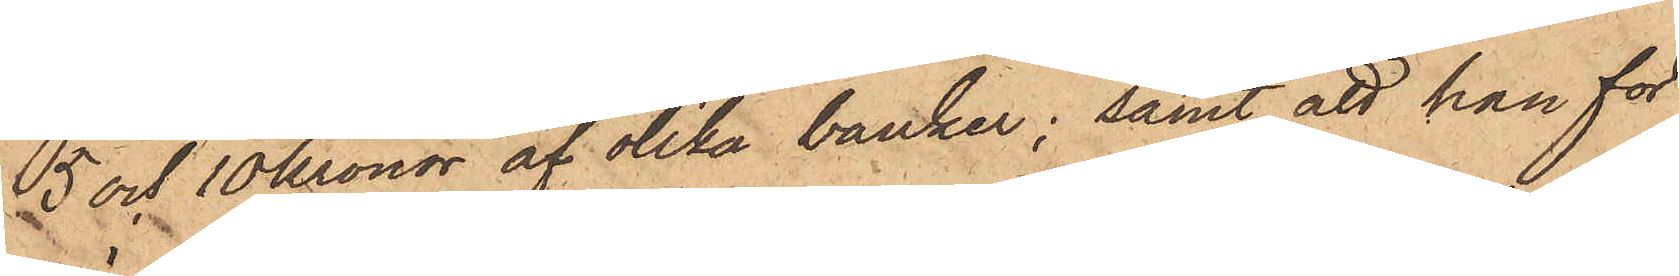5 och 10 kronor af olika banker; samt att han för
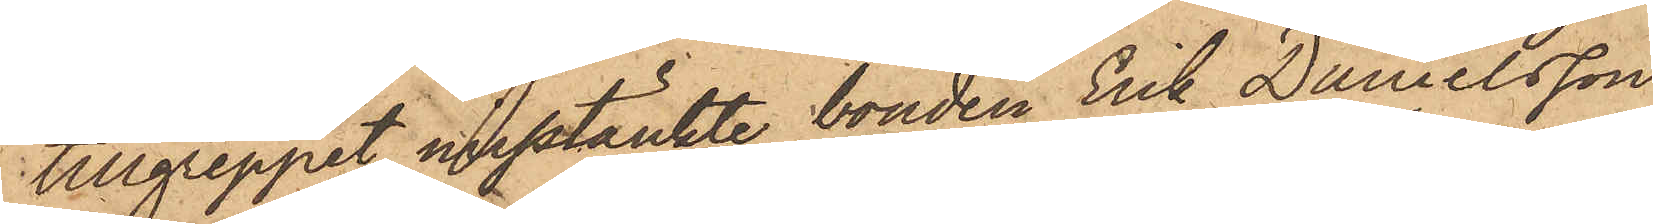tillgreppet misstänkte bonden Erik Danielsson
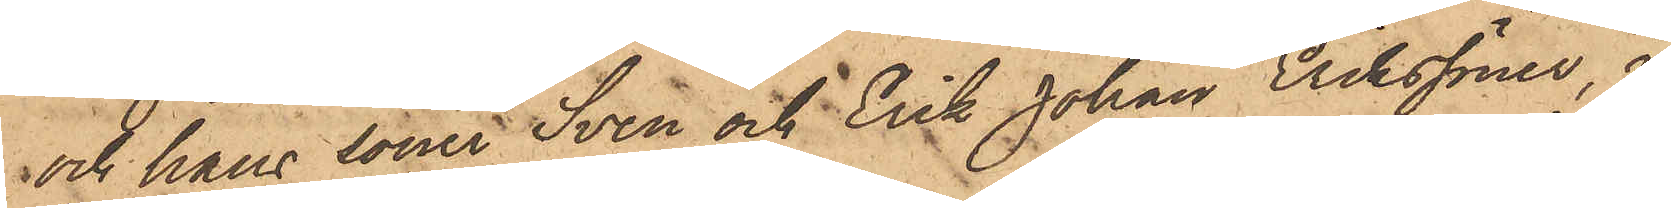och hans söner Sven och Erik Johan Erikssöner, i
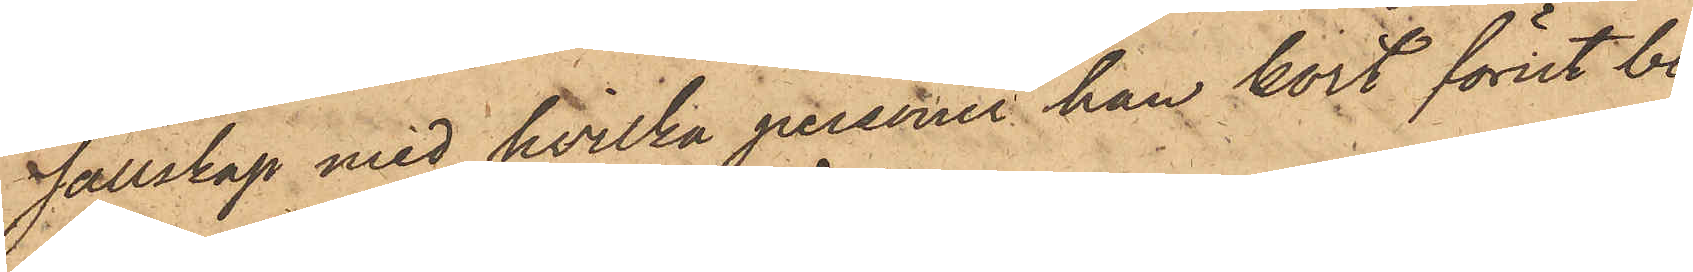sällskap med hvilka personer han kort förut be¬
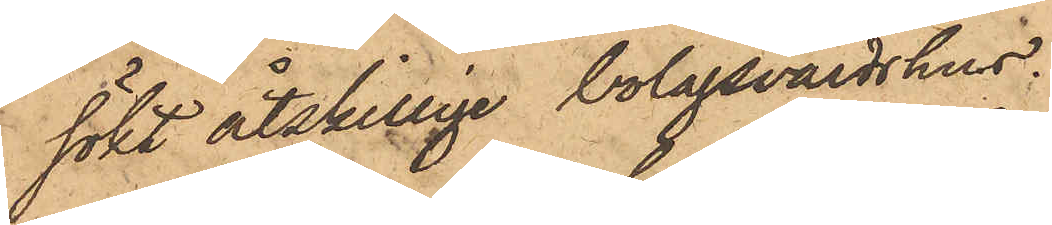sökt åtskillige bolagsvärdshus.
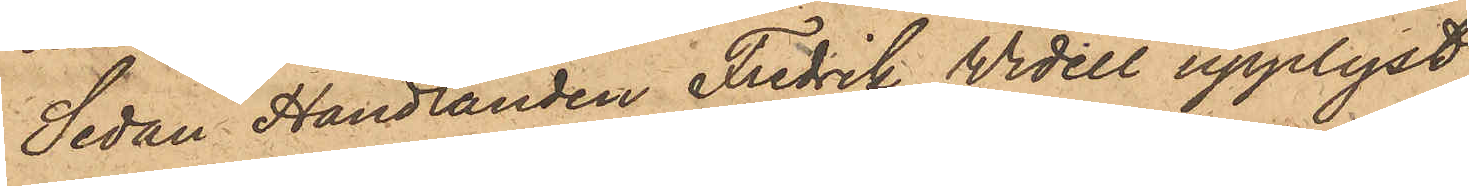Sedan Handlanden Fredrik Widell upplyst,
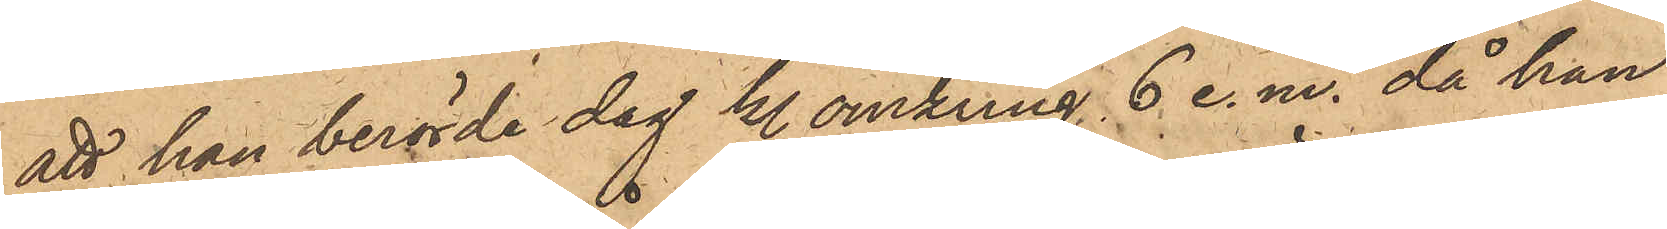att han berörde dag kl. omkring 6 e.m. då han
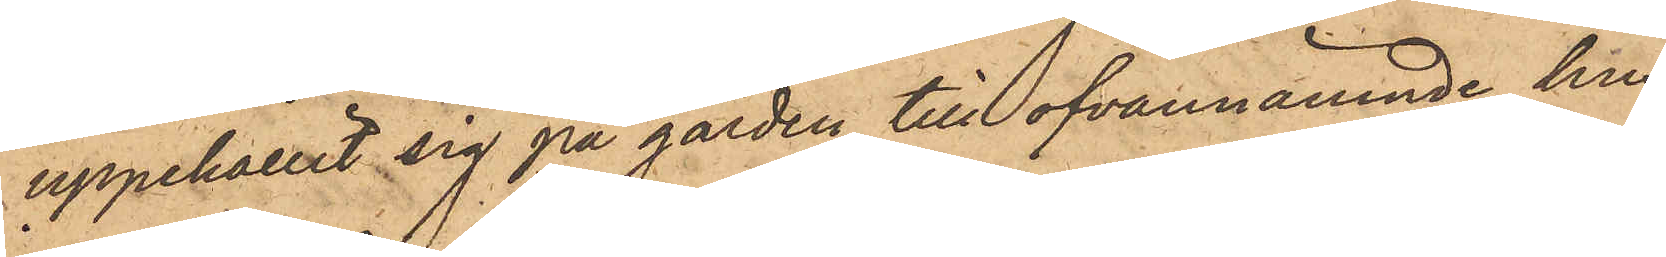uppehållit sig på gården till ofvannämnde hus,
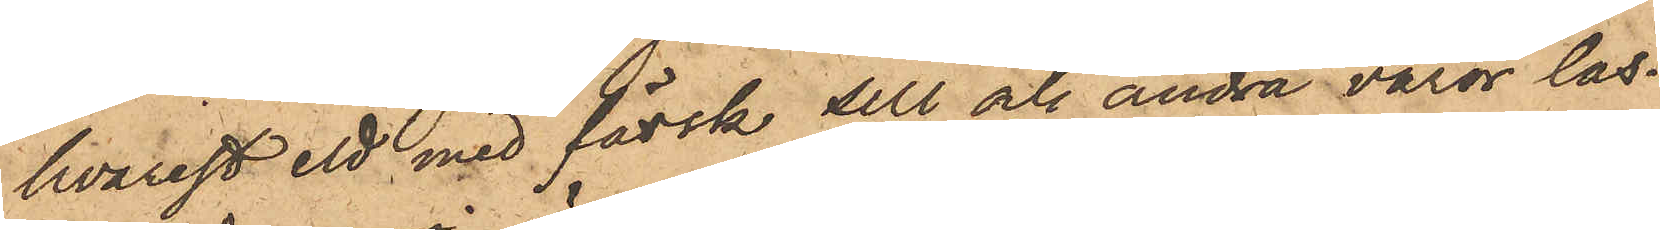hvarest ett med färsk sill och andra varor las¬
